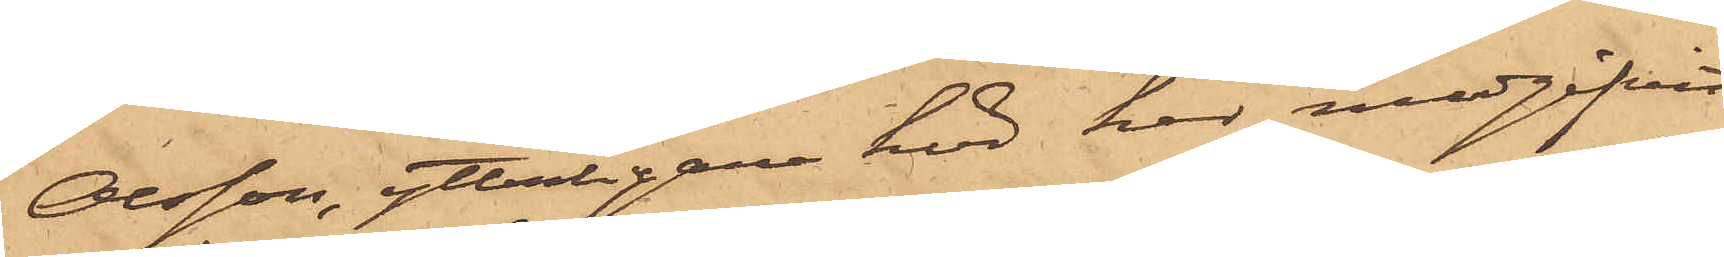Olsson, ytterligare hörd har medgifvit
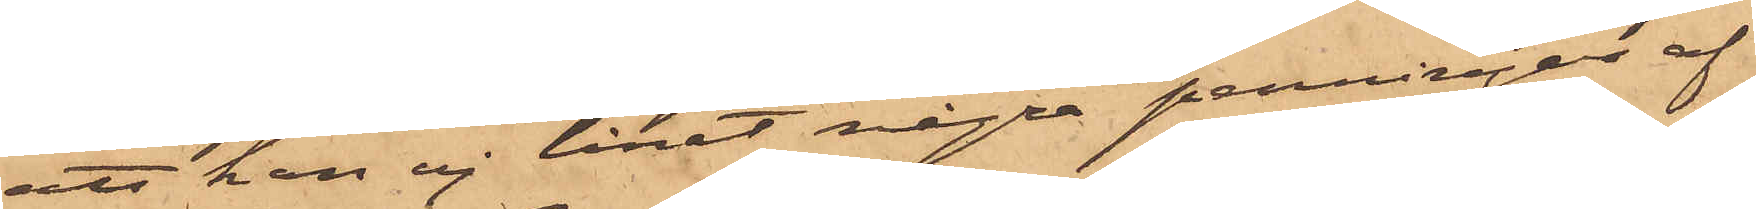att han ej lånat några penningar af
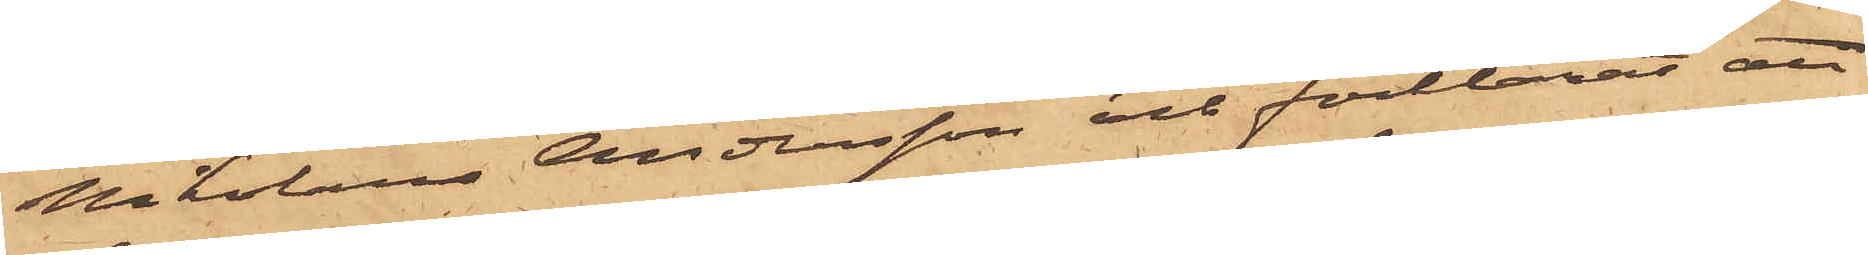Nikolaus Andersson och förklarat att
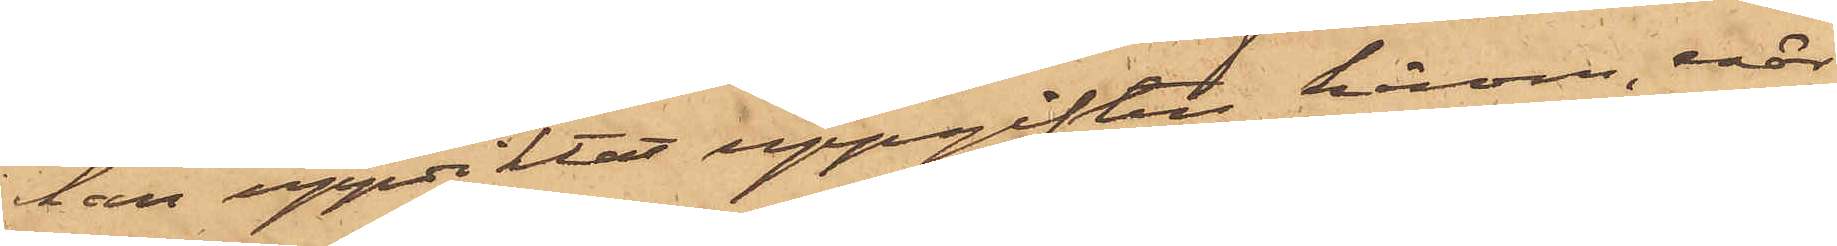han uppdiktat uppgiften härom, enär
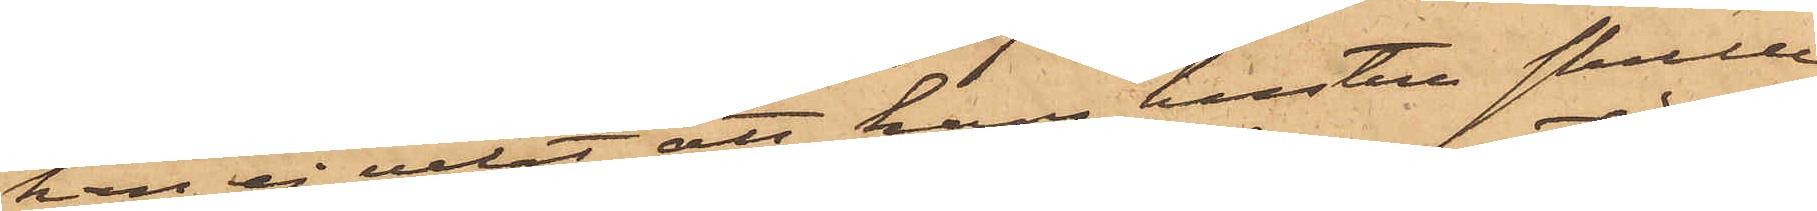han ej velat att hans hustru skulle
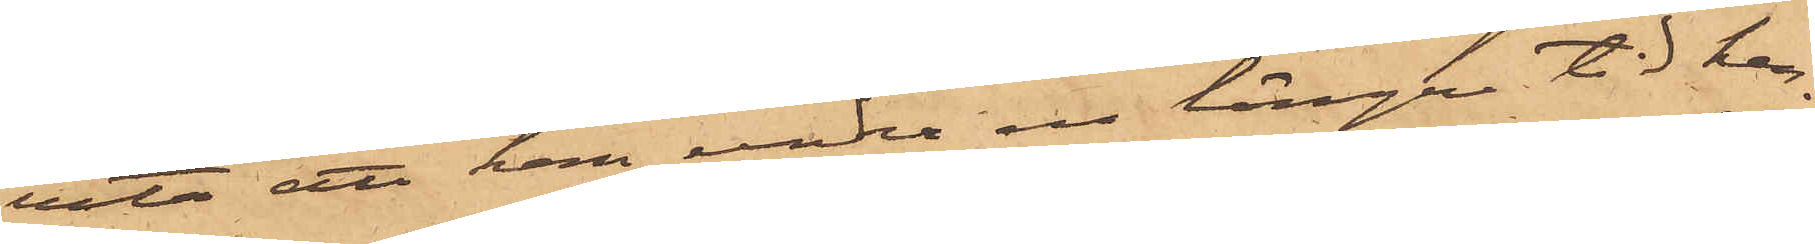veta att han under en längre tid hen-
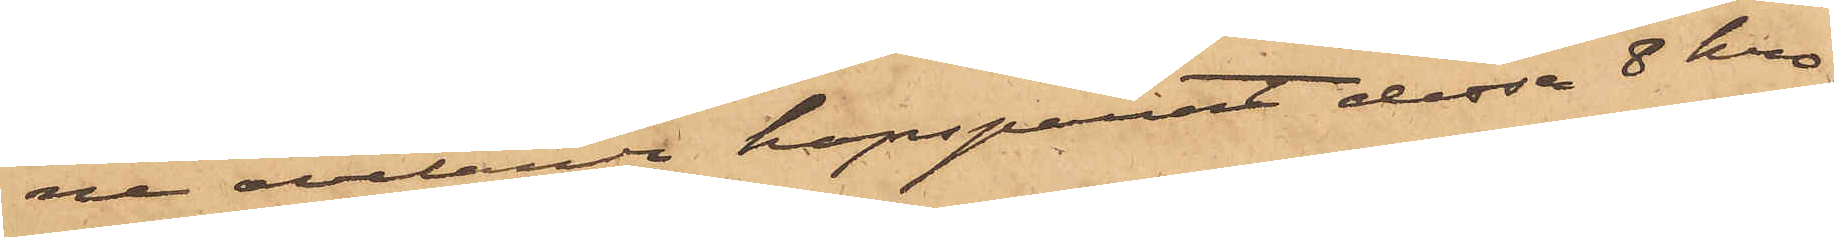ne ovetande hopsparat dessa 8 kro¬
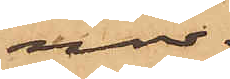nor.
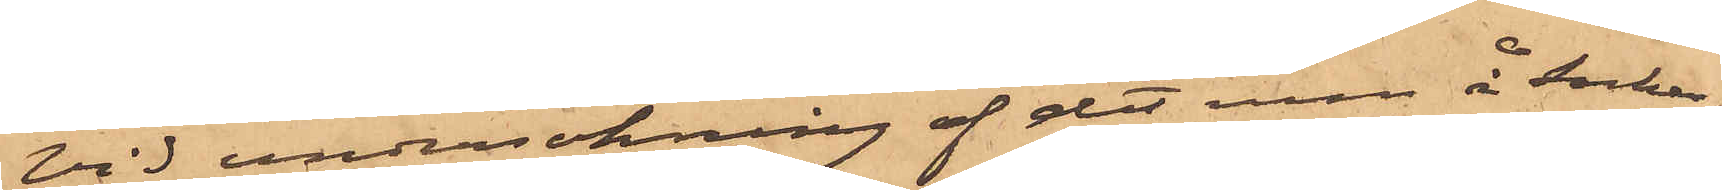Vid undersökning af det rum å socker¬
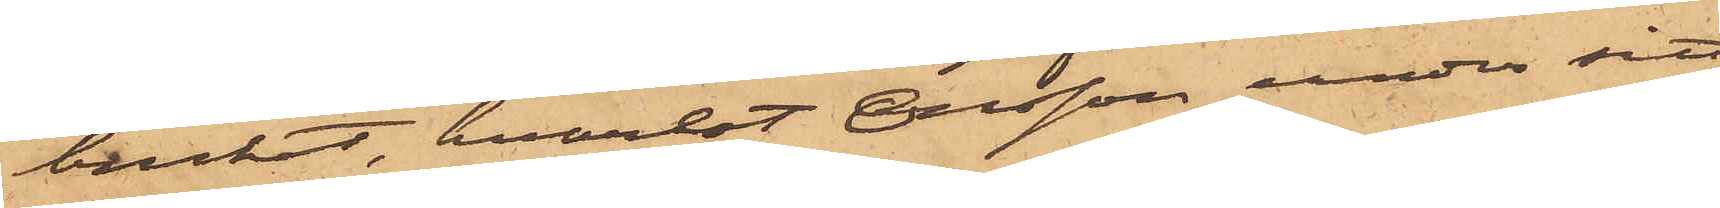bruket, hvarest Olsson under sitt
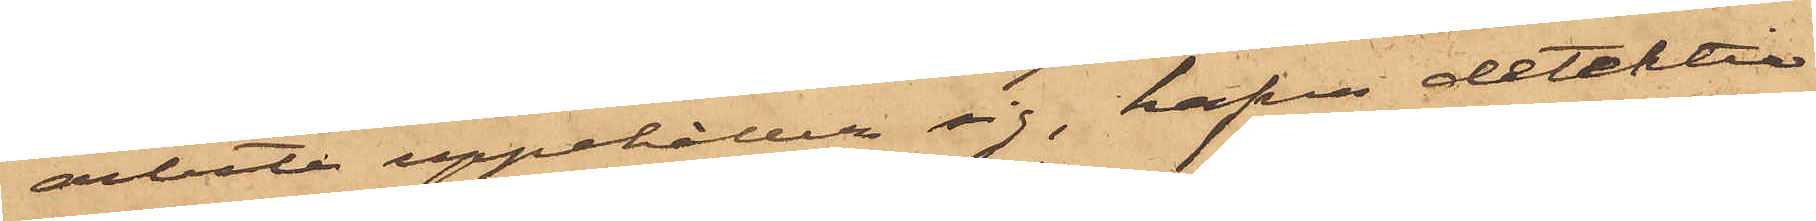arbete uppehåller sig, hafva detektiv¬
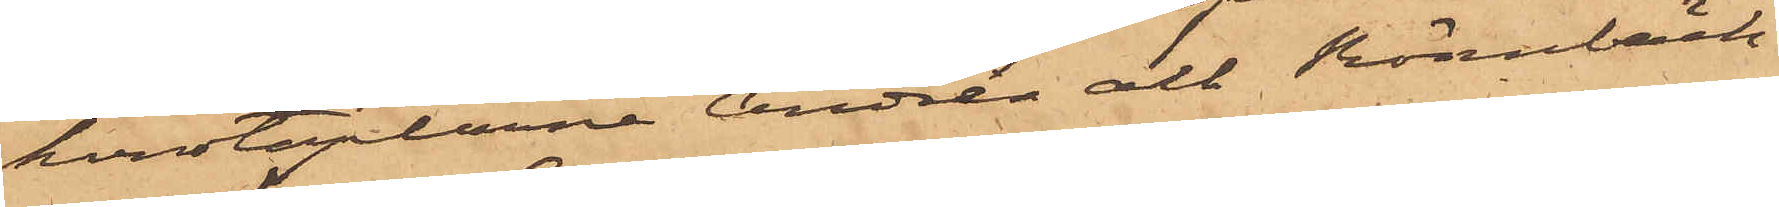konstaplarne Andrén och Rönnbäck
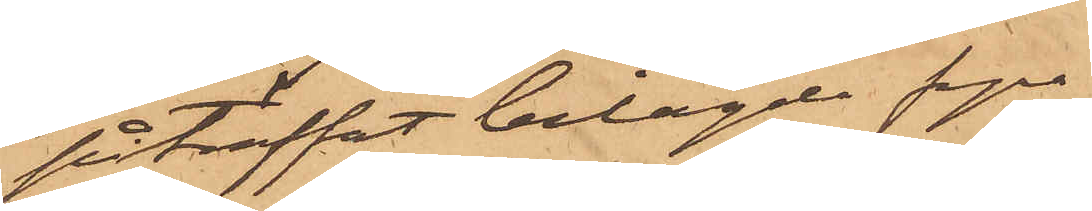påträffat bilagde fyra
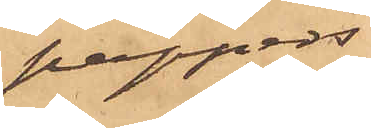pappers¬
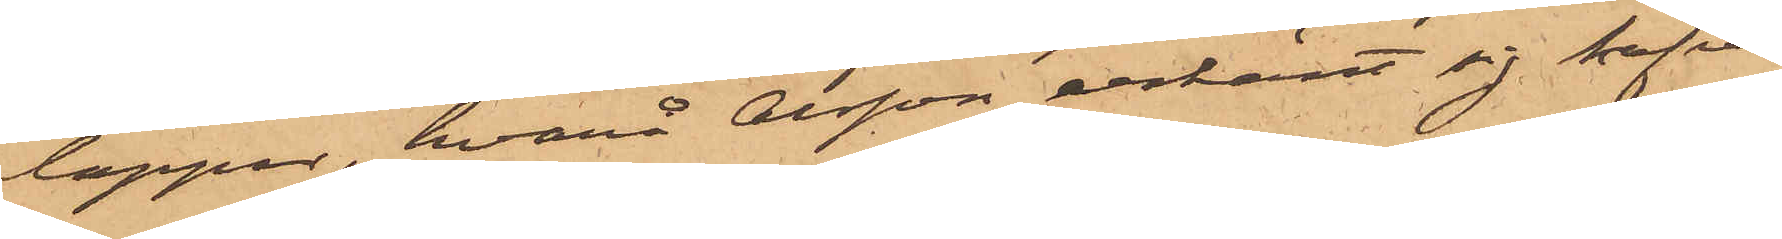lappar, hvarå Olsson erkänt sig hafva
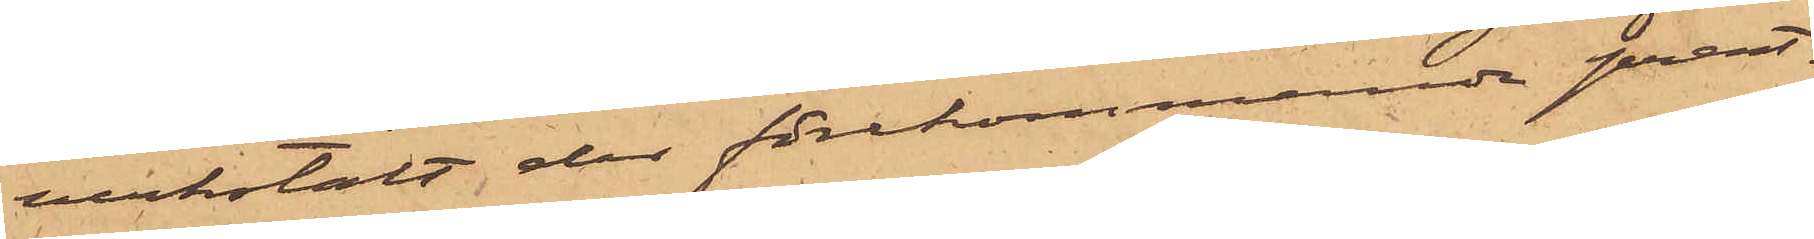verkstält der förekommande prent¬
